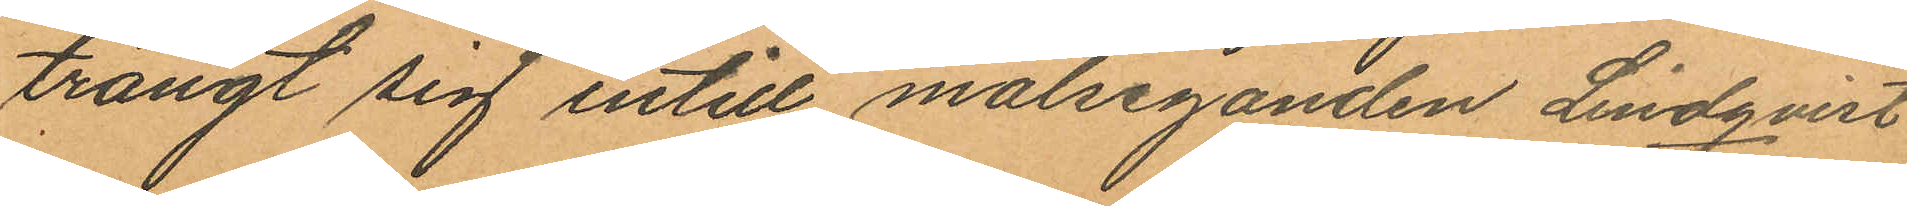trängt sig intill målseganden Lindqvist
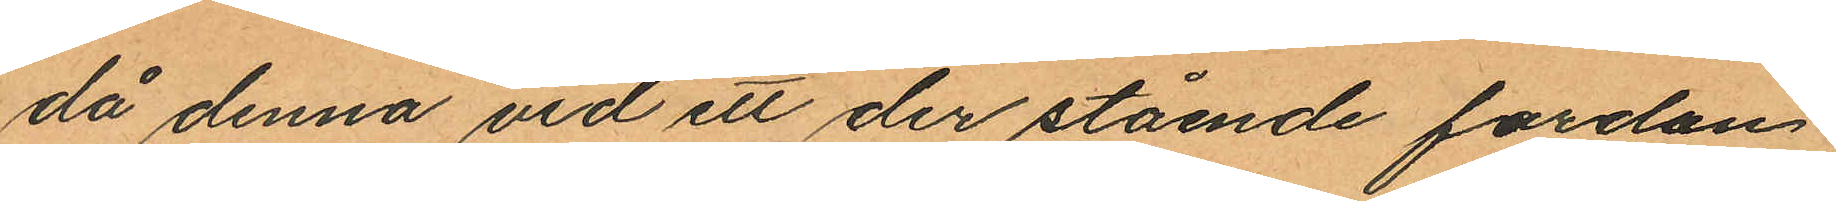då denna vid ett der stående fordon
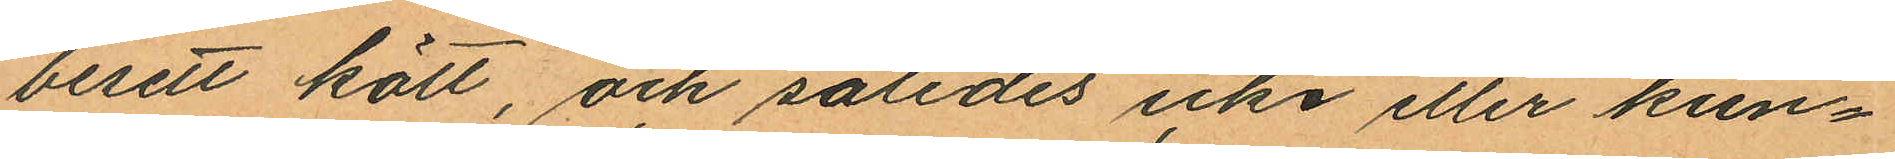besett kött, och således icke eller kun¬
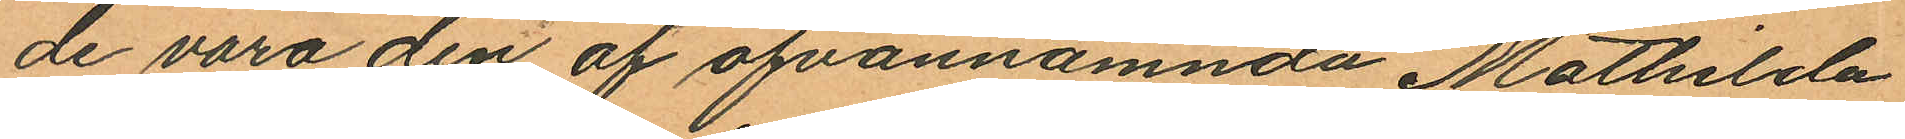de vara den af ofvannamnda Mathilda
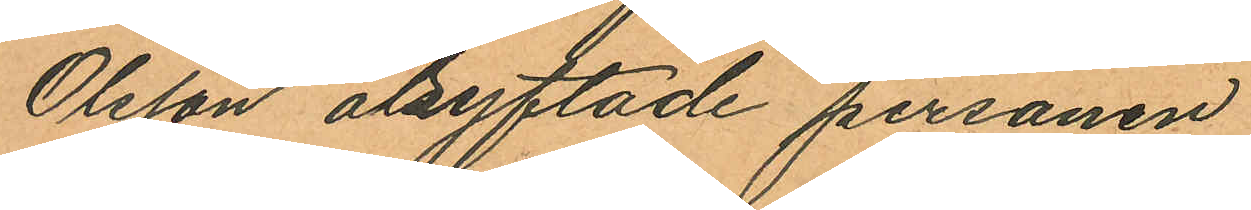Olsson åsyftade personen
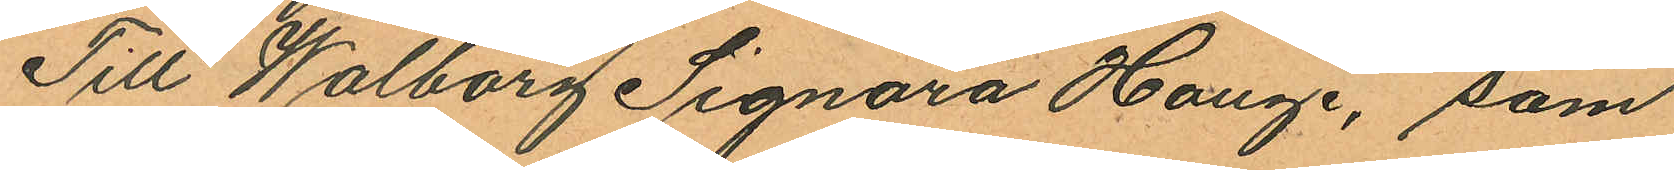Till Walborg Signora Hauge, som
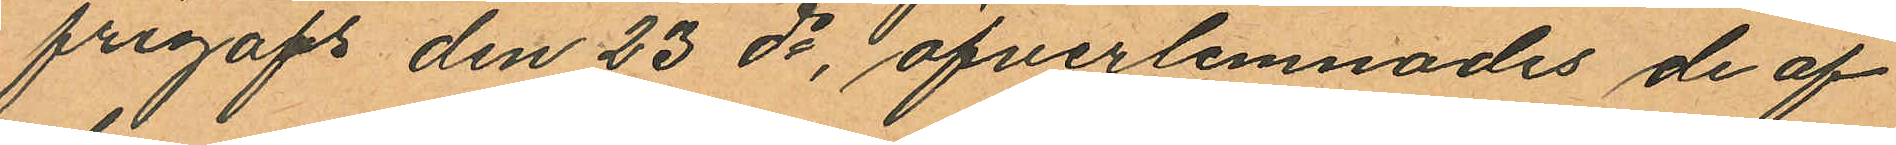frigafs den 23 ds, öfverlemnades de af
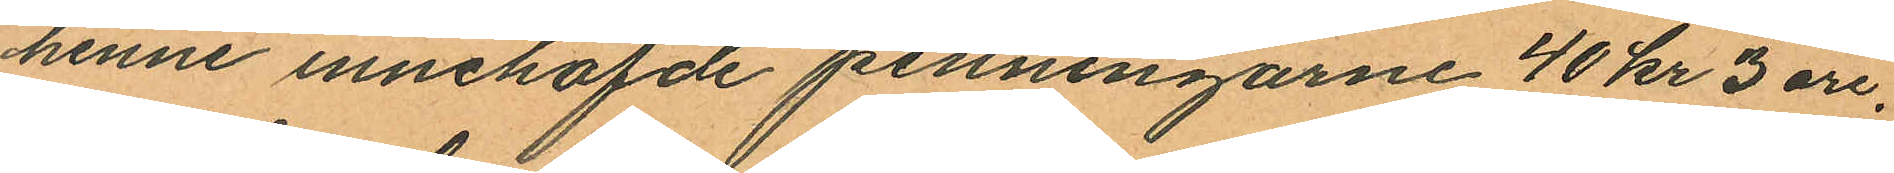henne innehafde penningarne 40 kr 3 öre.
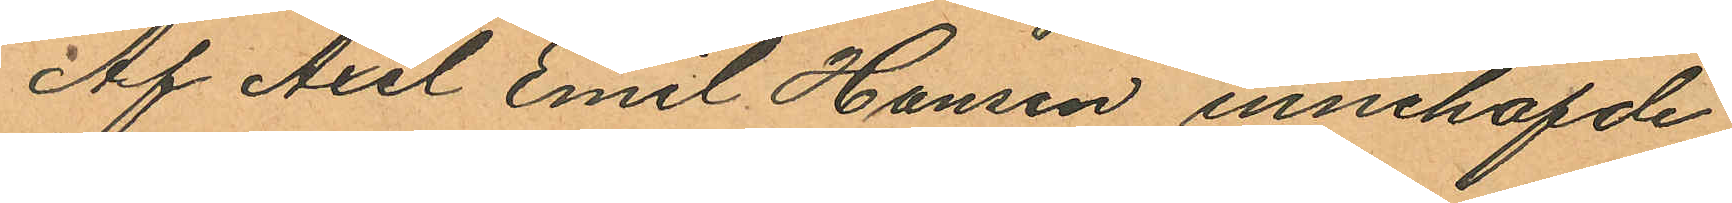Af Axel Emil Hansen innehafvde
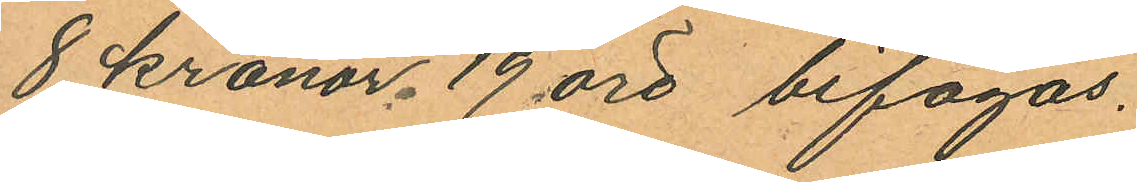8 kronor, 19 öre bifogas.
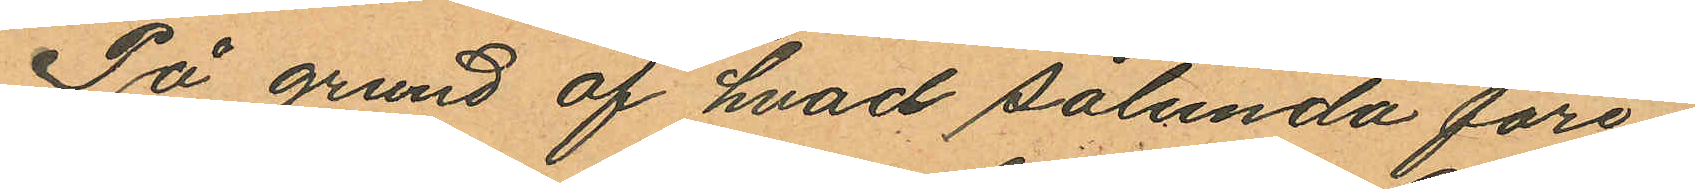På grund af hvad sålunda före¬
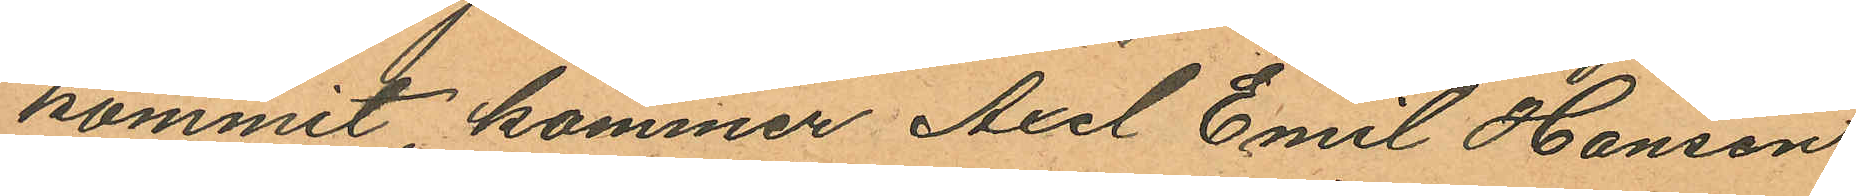kommit kommer Axel Emil Hansen,
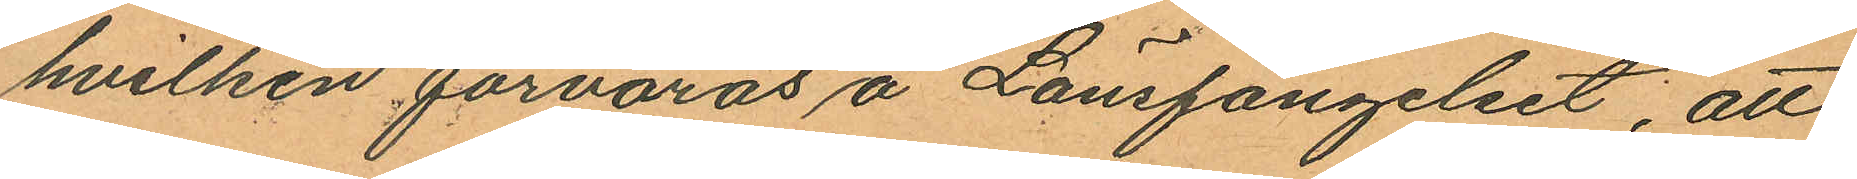hvilken förvaras å Länsfängelset, att
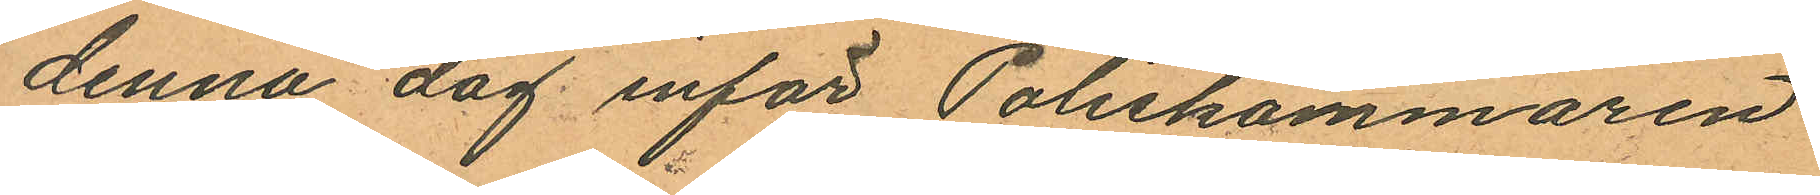denna dag inför Poliskammaren
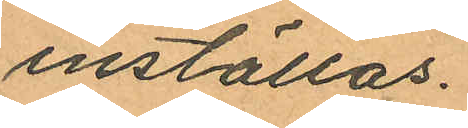inställas.
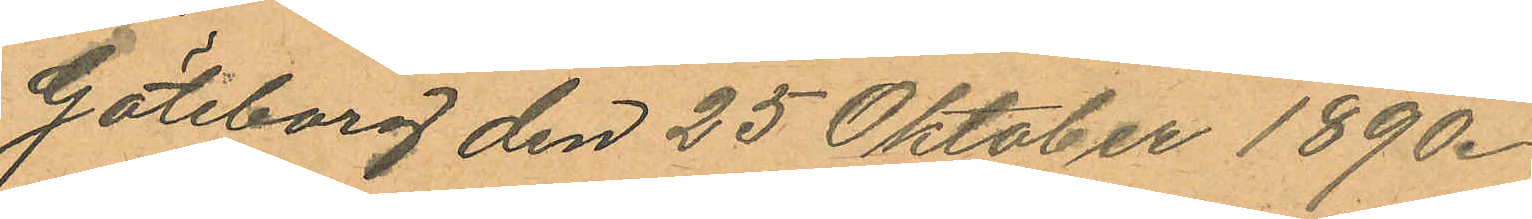Göteborg den 25 Oktober 1890.
